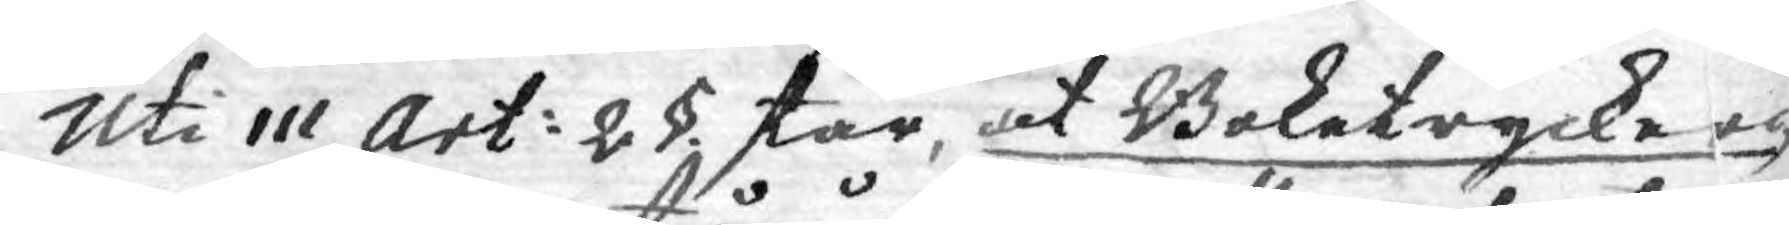Uti 111 Art: 2 § står, at Boktrycker¬
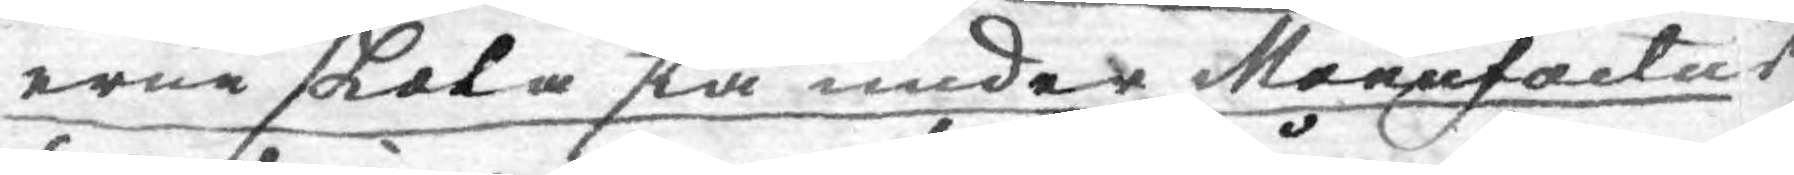erne skola stå under Manufactur
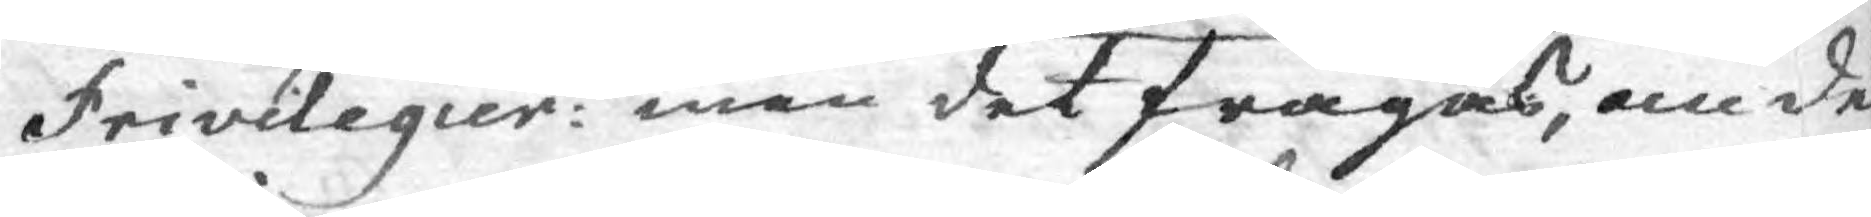Privilegier: men det frågas, om de
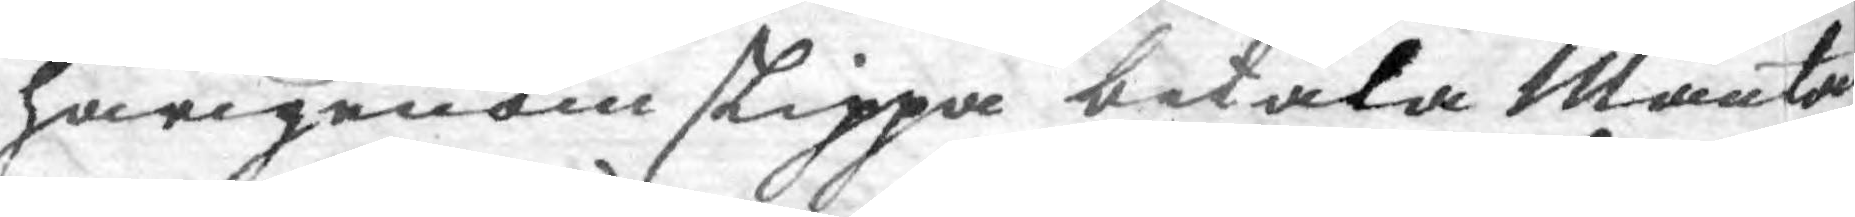härigenom skippa betala Manta
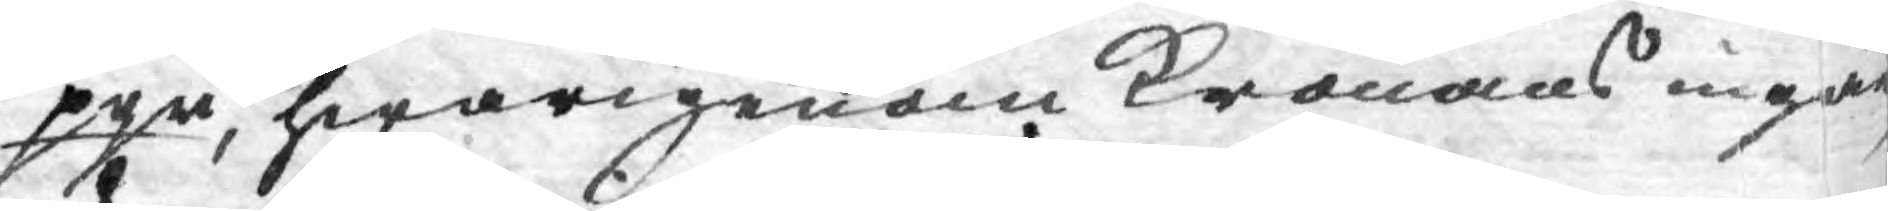pgr, hwarigenom Kronans ingå
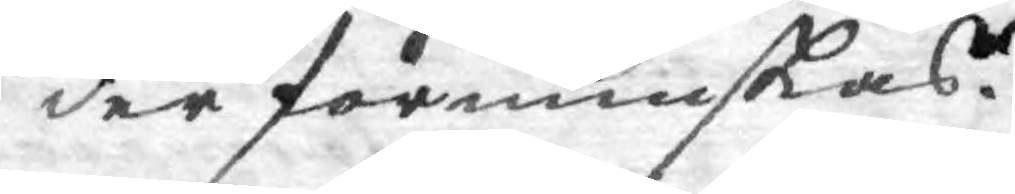der förminskas.
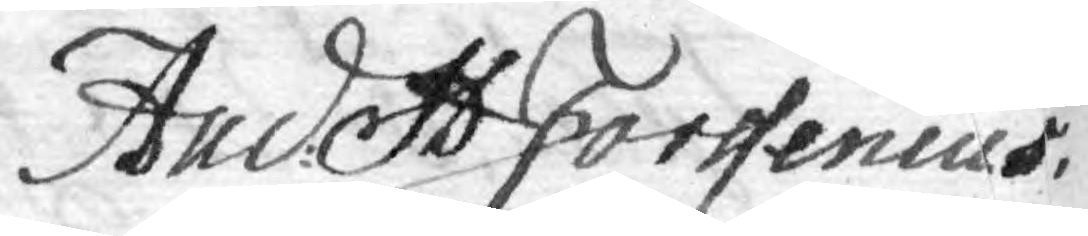Anders Forssenius
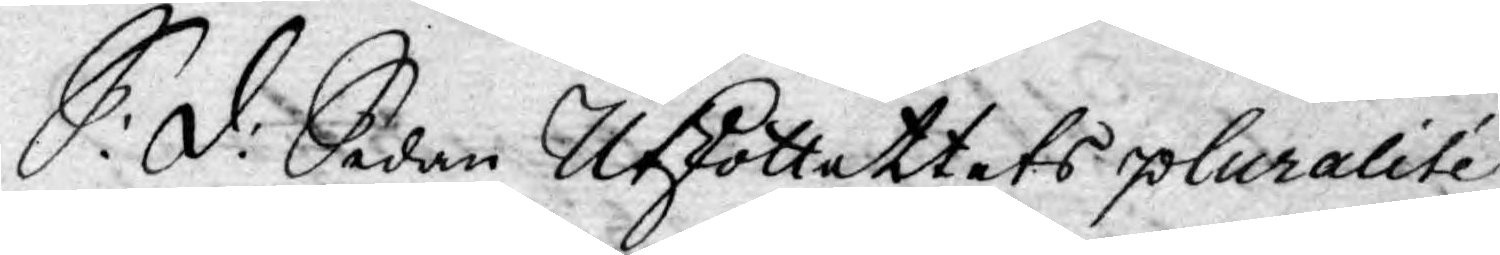S: d: Sedan Utkott attets pluralité
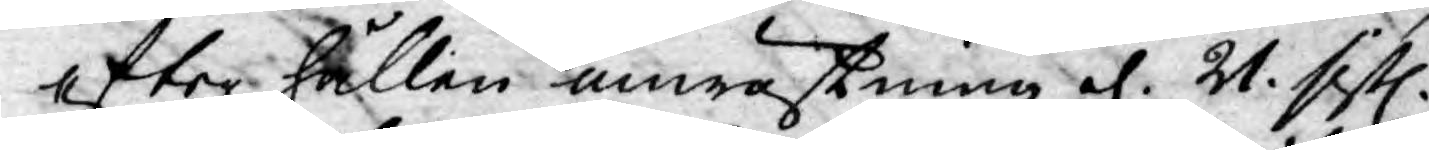efter hållen anwästning d. 21. sistl.
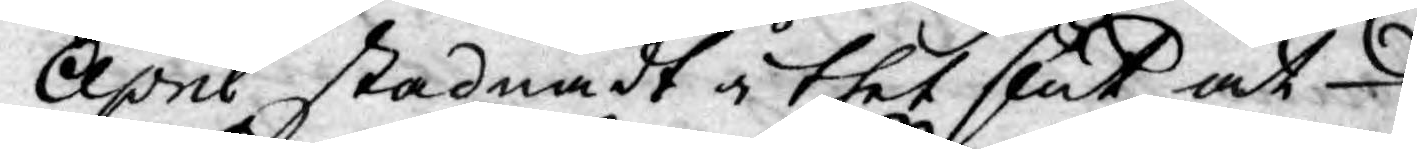April stadnadt i thet slut at
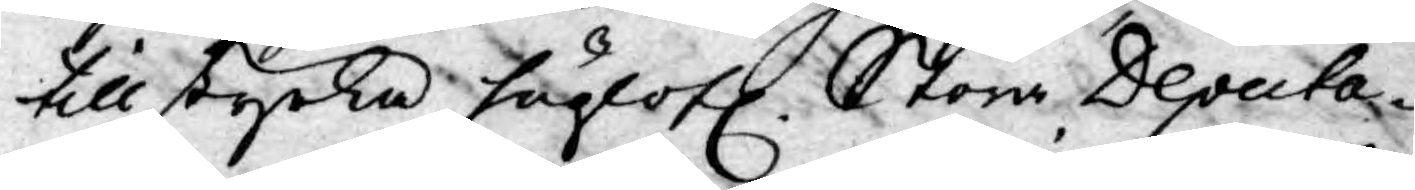tillstyrka höglofl. Stora Deputa¬
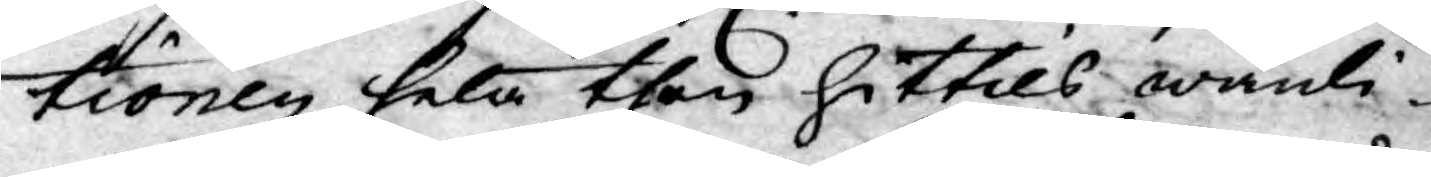tionen hela then hittils wanli¬
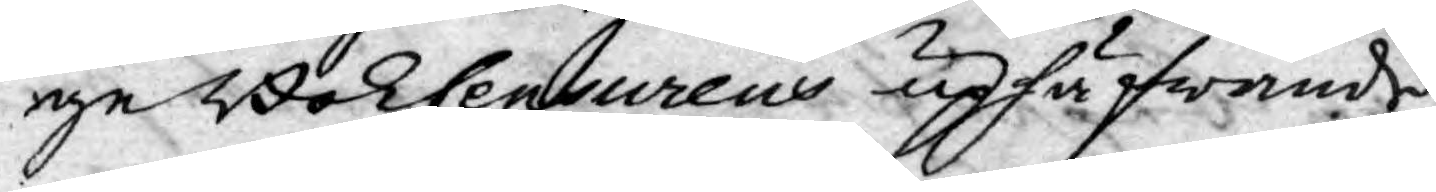ge Bokcensurens uphäfwande
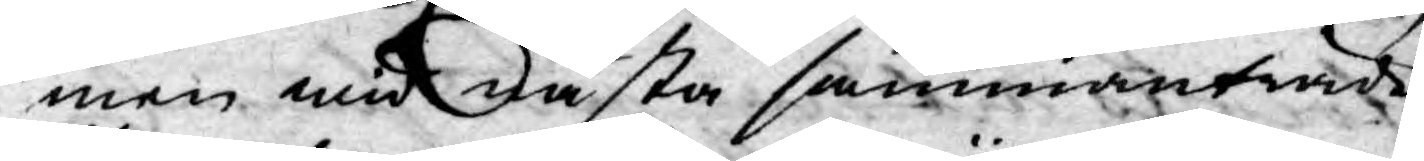men wid nästa sammanträde
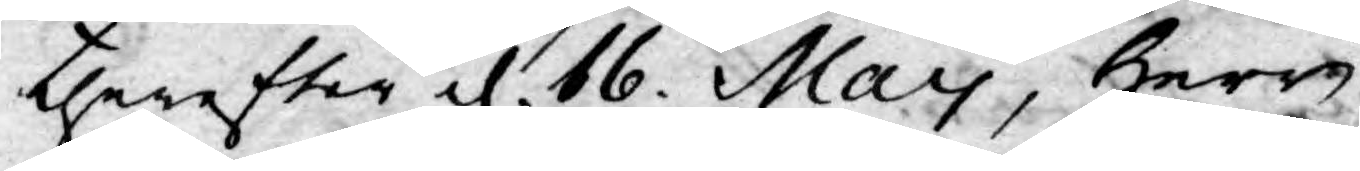therefter d. 16. May, Herr
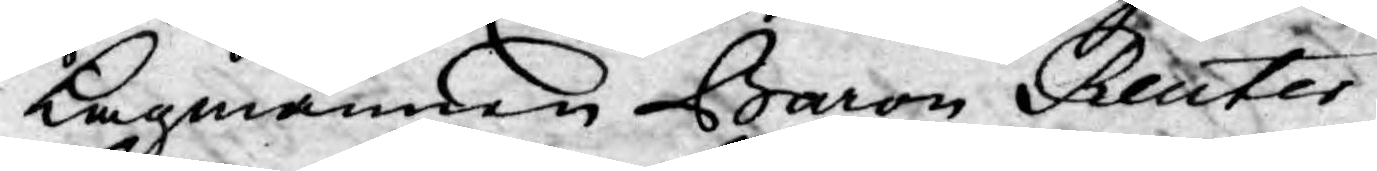Lagmannen Baron Reuter¬
